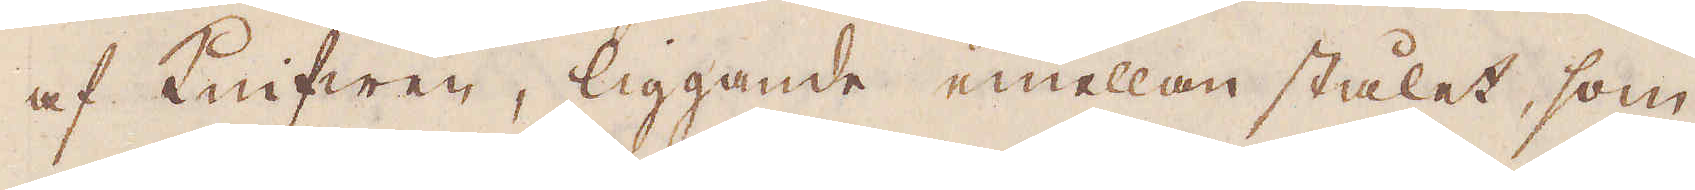af Knifwen, liggande emellan stålet, som
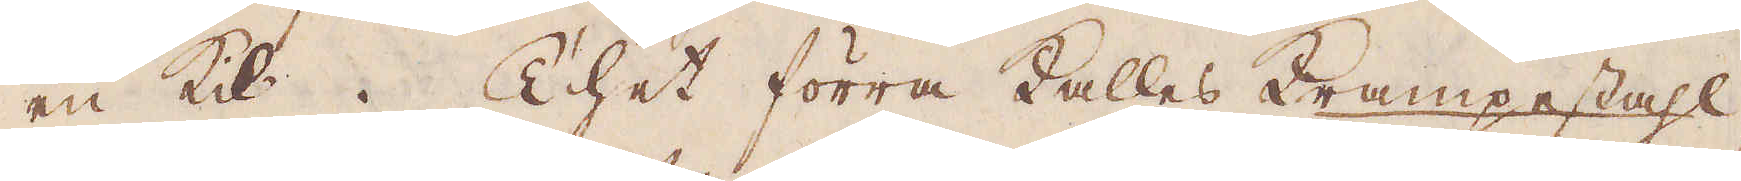en Kil. Thet förra kallas Krampestahl,
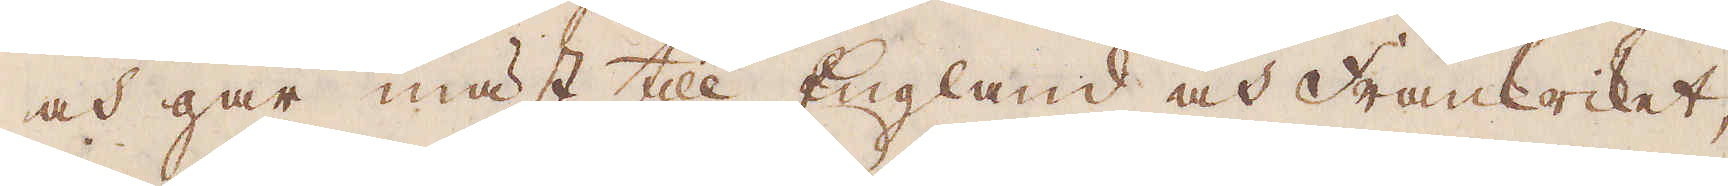och går mäst till England och Frankriket,
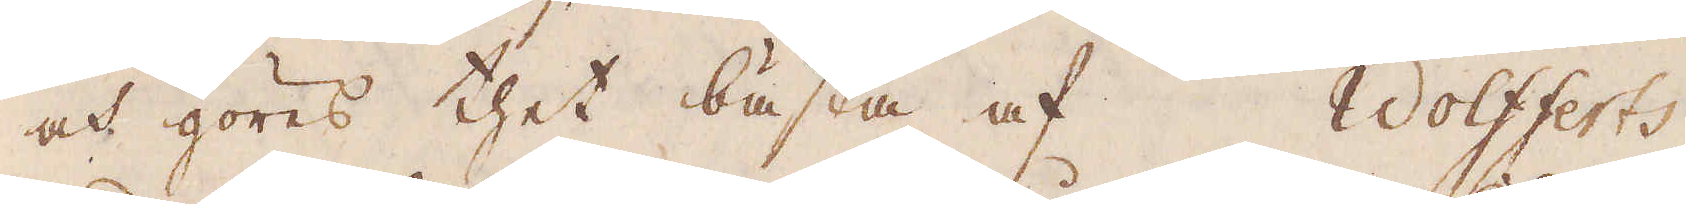och göres thet bästa af Wolfferts
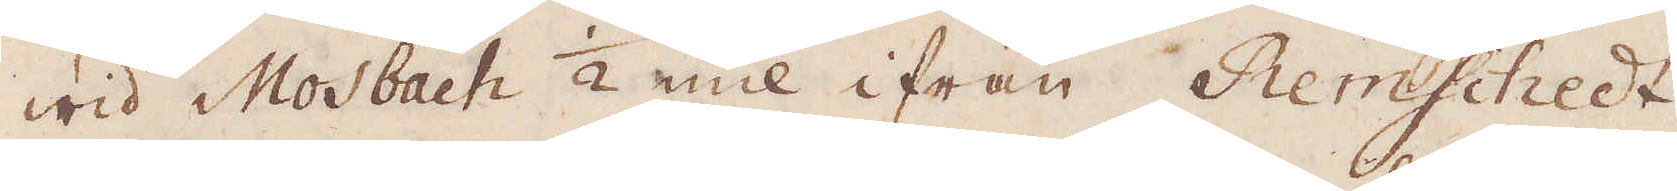wid Mosbach 1/2 mil ifrån Remschedt,
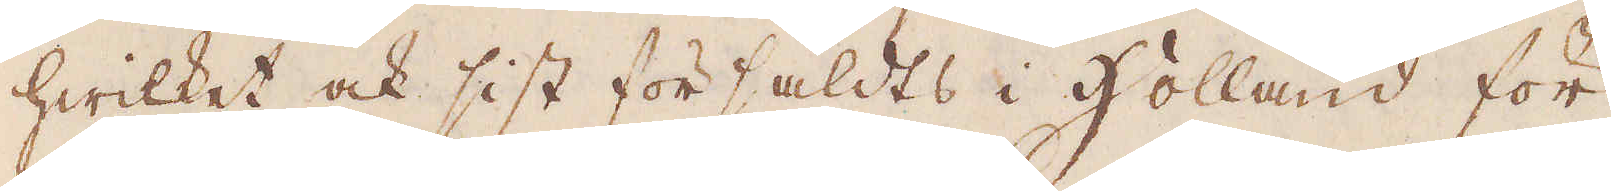hwilket ock sist försåldts i Holland för
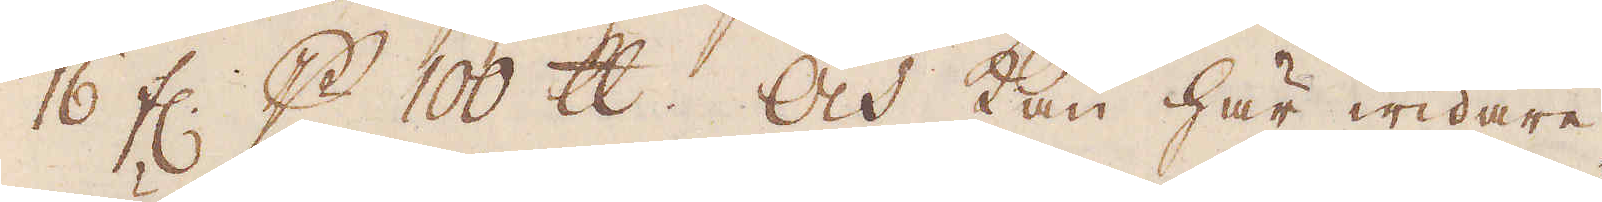16 fl. p 100 skålpund. Och kan här widare,
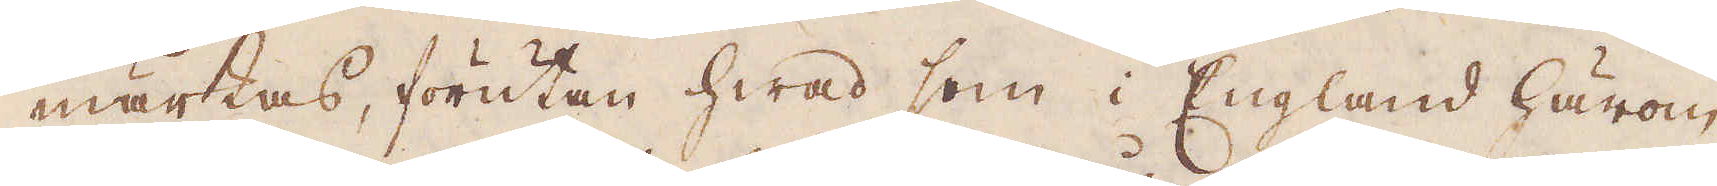märkas, förutan hwad som i England härom
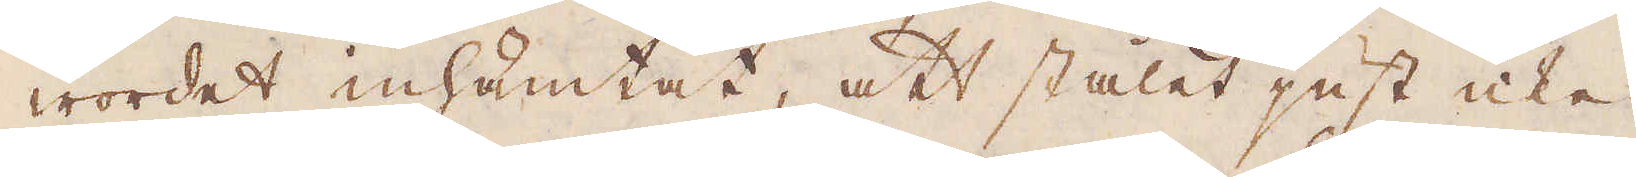wordet inhämtat, att stålet just icke
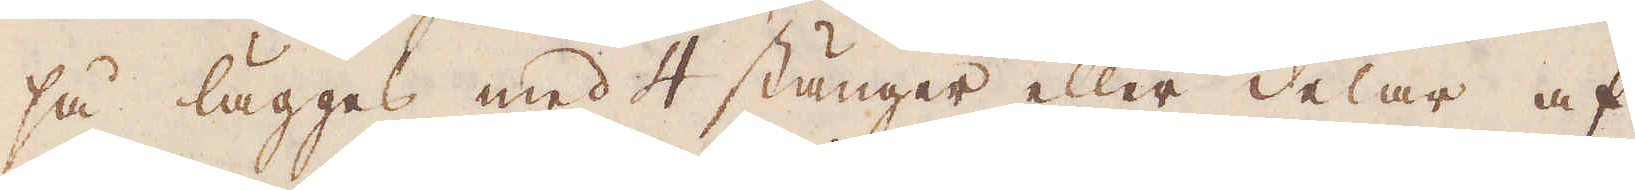så lägges med 4 stänger eller delar af
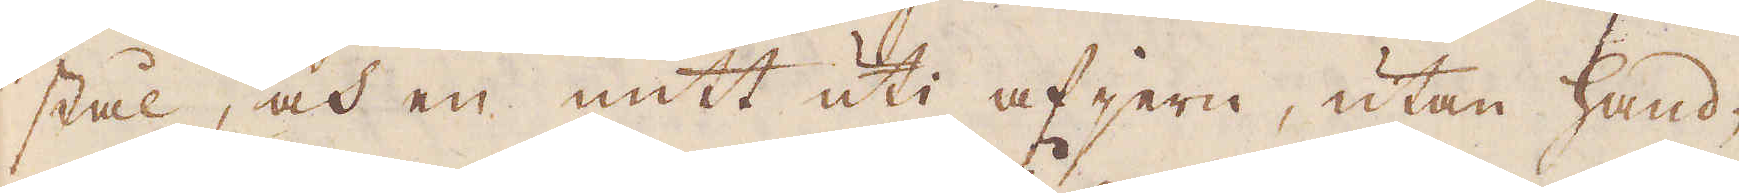stål, och en mitt uti af jern, utan hand-
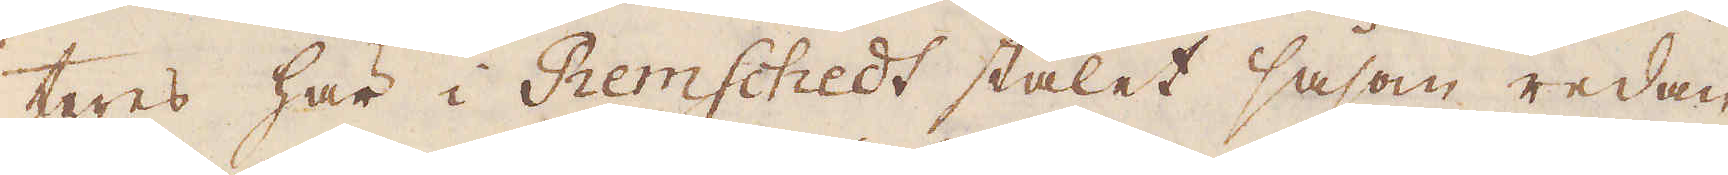teres här i Remschedt stålet såsom redan
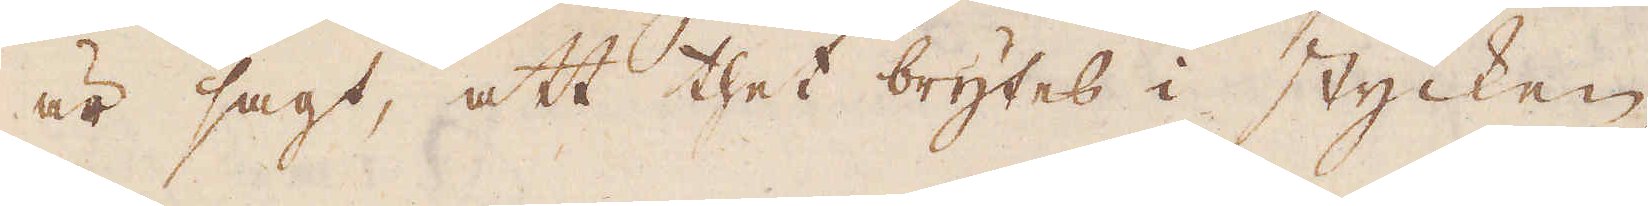är sagt, att thet brytes i stycken
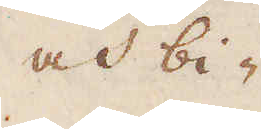och bi-
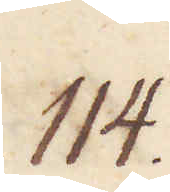114.
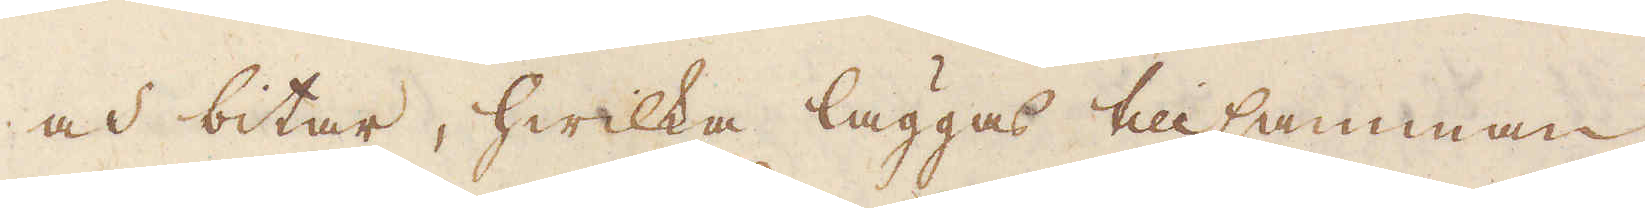och bitar, hwilka läggas tillsamman
